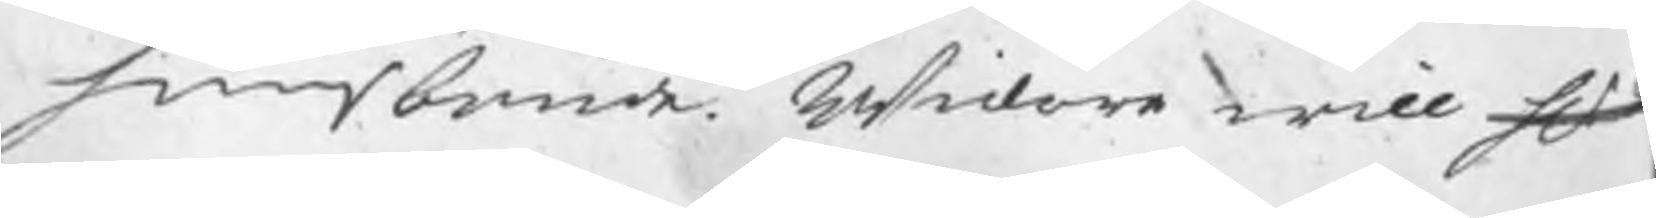huusbonde. Widare will Hr 
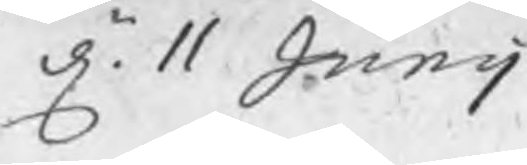d. 11 Junij
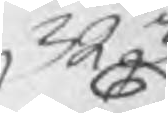323
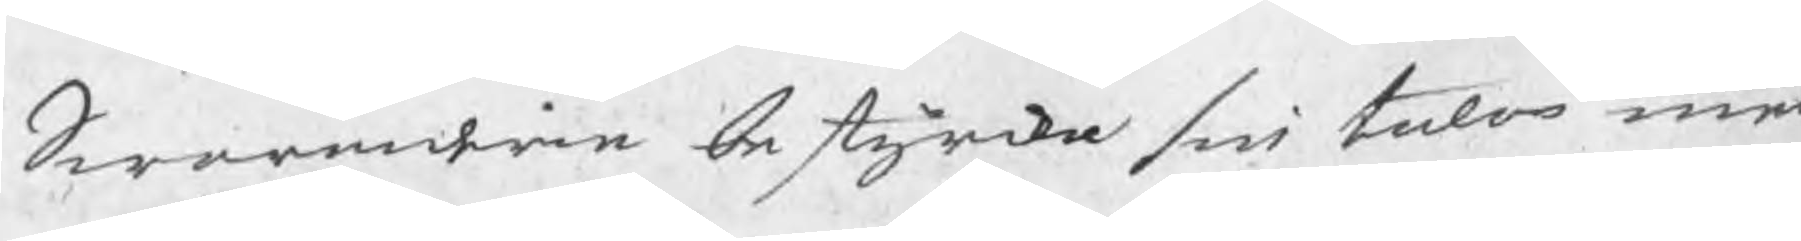Swaranden bestyrka sin talan med
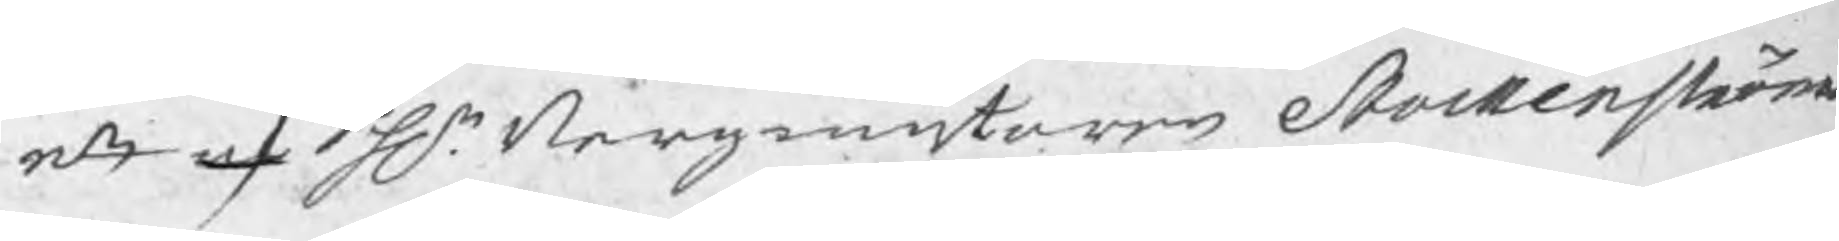ett af Hr. Bergmästaren Stockenströms
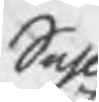Sahl.
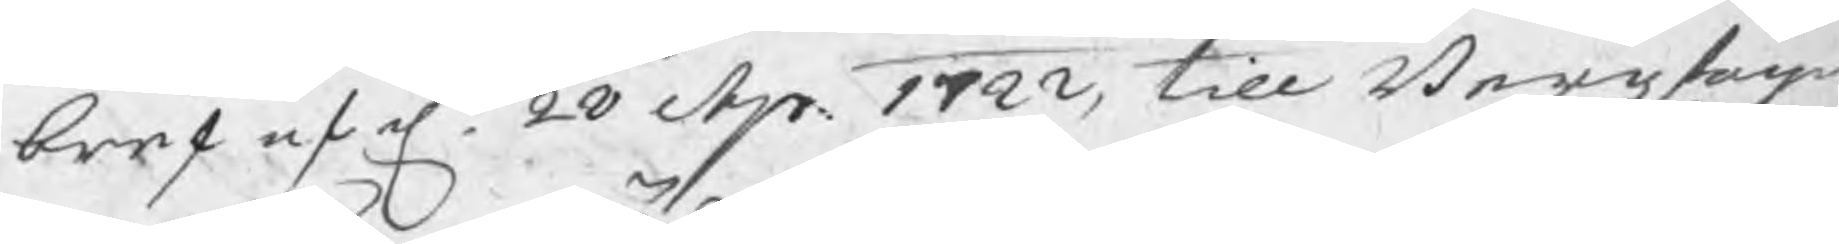bref af d. 28 Apr. 1722, till Bergzfog¬
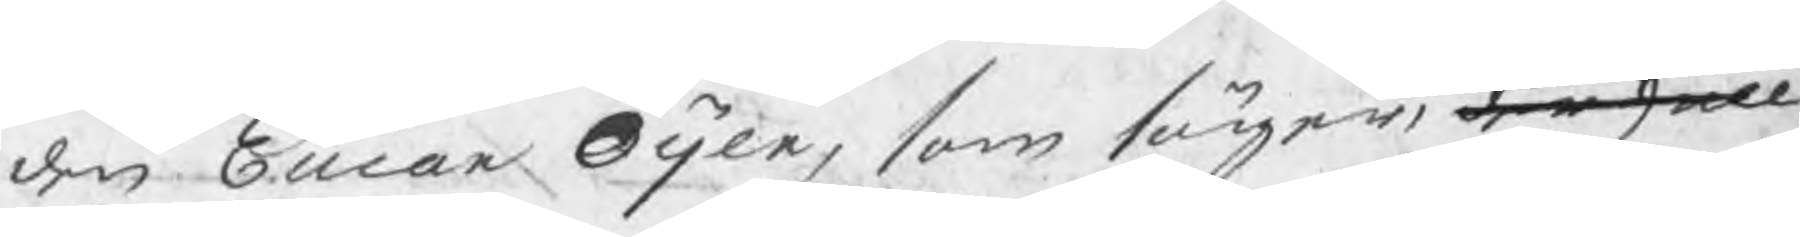den Eucar Öijer, som säger, den skall
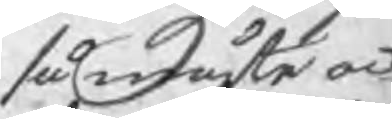så måste ock
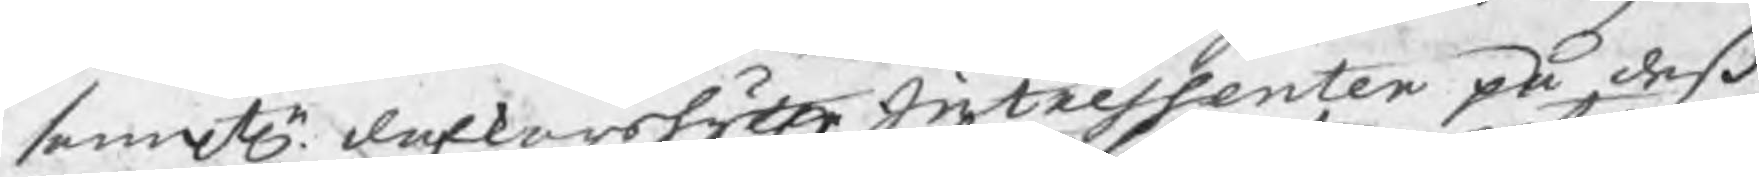samtl. dalkarshytte Intressenter på deß
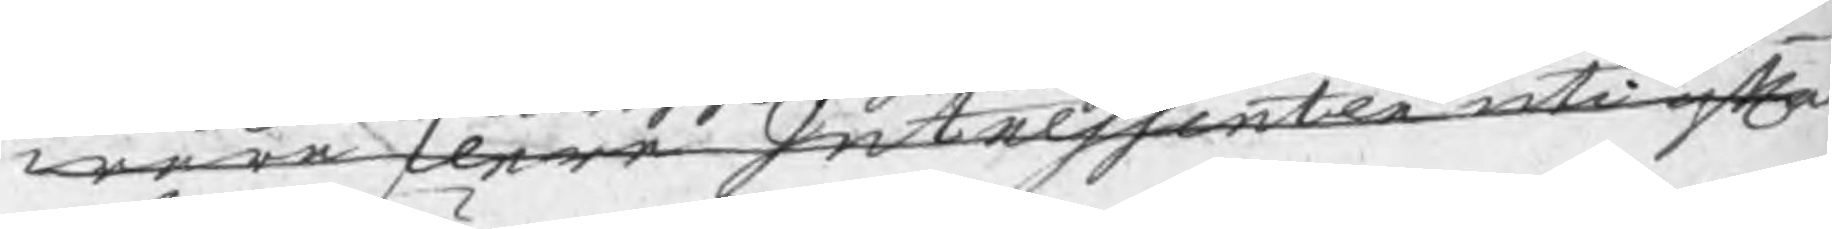wara dere Intressenter uti ofta
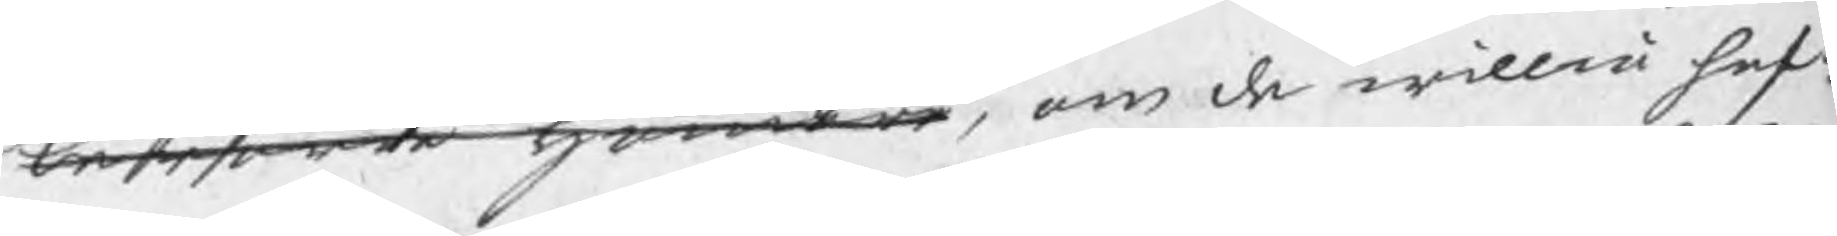berörde hammare, om de willia haf¬
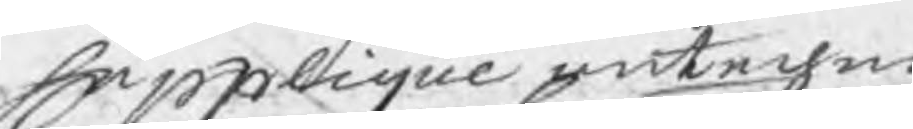Supplique antechna
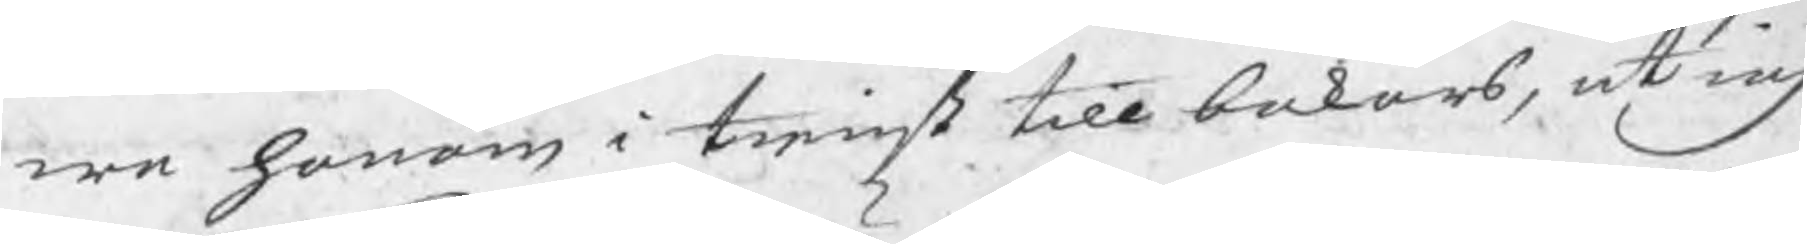wa honom i tienst till bakars, at iag
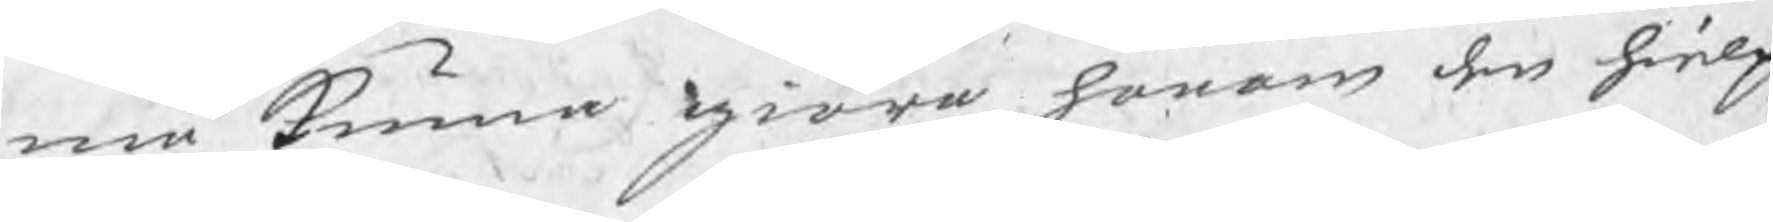må kunna giöra donom den hielp
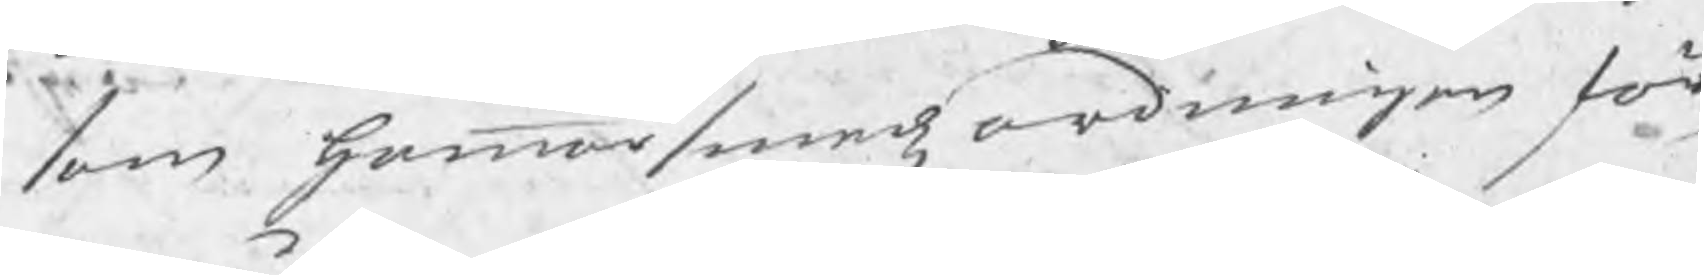som Hammarsmedzordningen för¬
